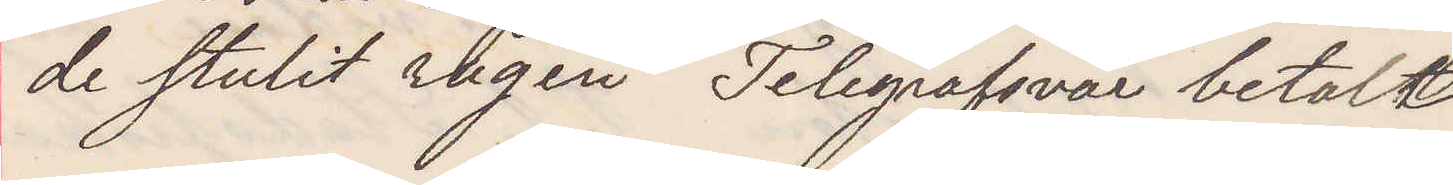de stulit rågen Telegrafsvar betalt
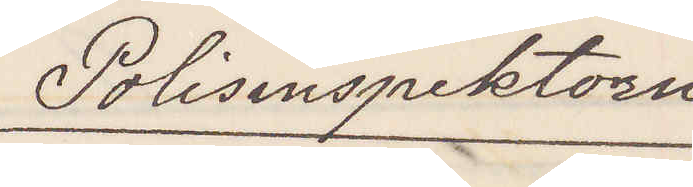Polisinspektorn
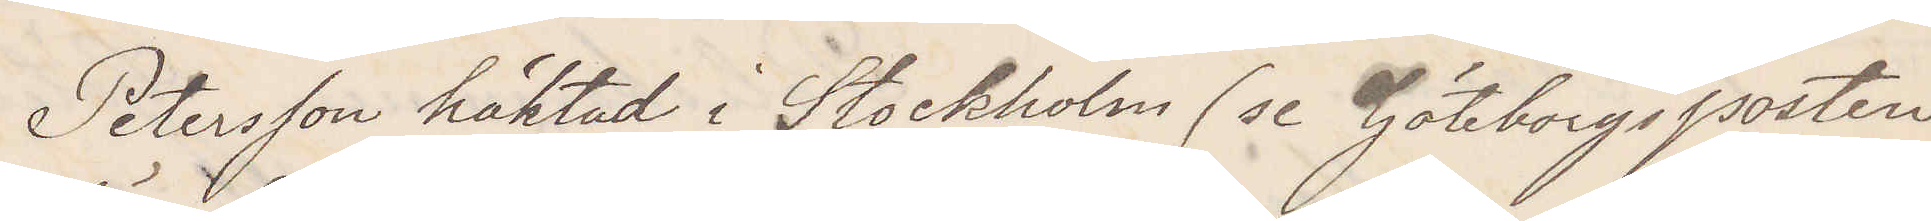Petersson häktad i Stockholm (se Göteborgsposten
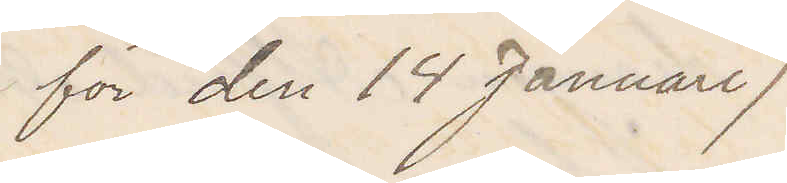för den 14 Januari)
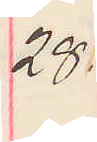28.
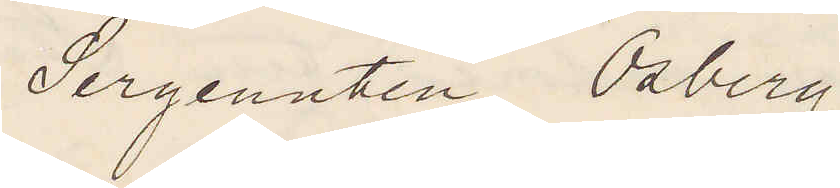Sergeanten Osberg.
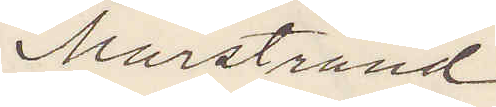Marstrand.
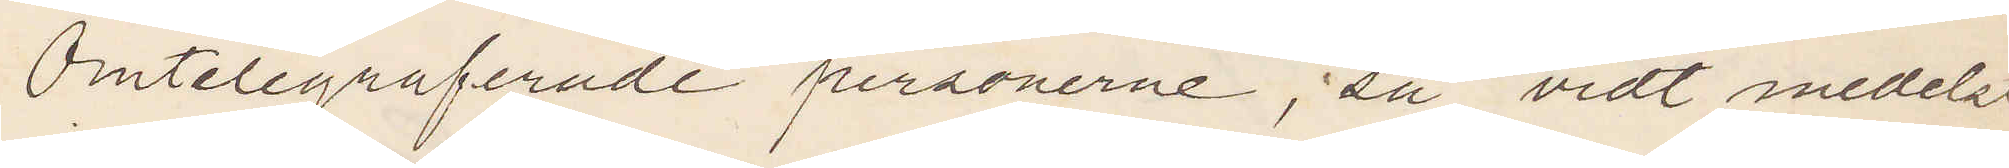Omtelegraferade personerne; så vidt medelst
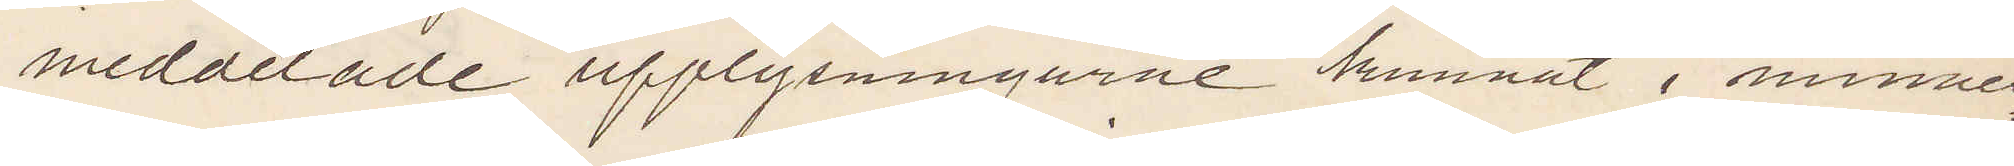meddelade upplysningarne hamnat i minnes¬
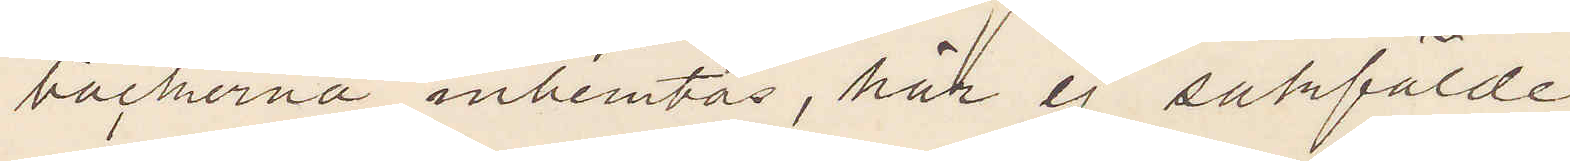böckerna inhemtas, här ej sakförde.
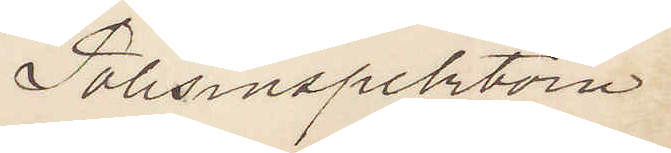Polisinspektorn.
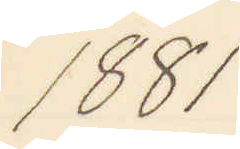1881
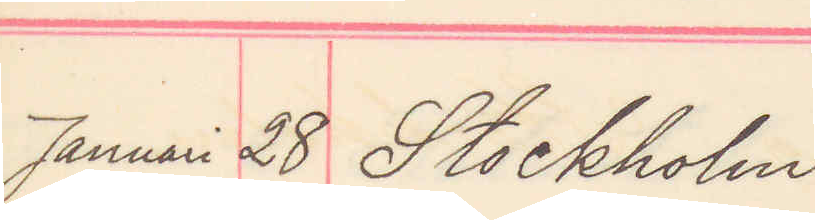Januari 28 Stockholm.
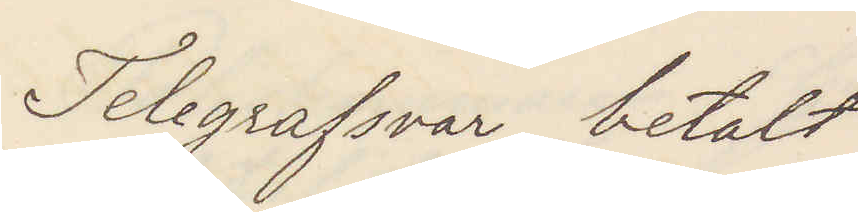Telegrafsvar betalt
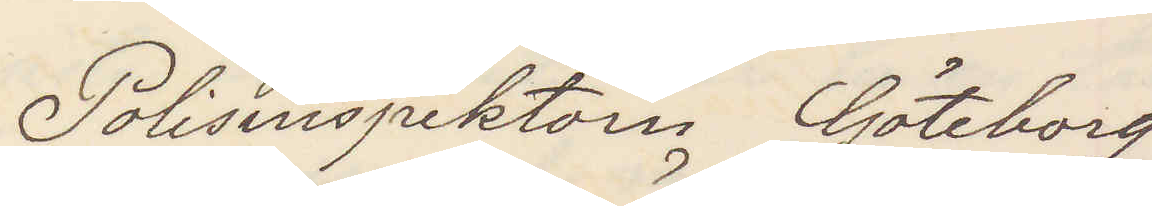Polisinspektorn Göteborg
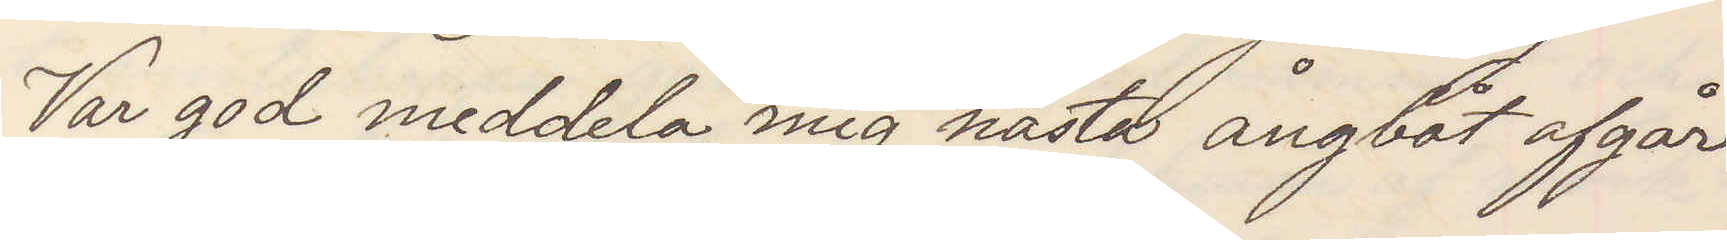Var god meddela mig nästa ångbåt afgår
